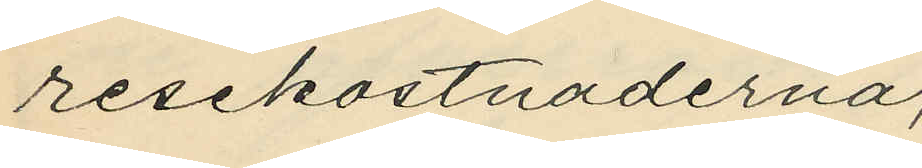resekostnaderna;
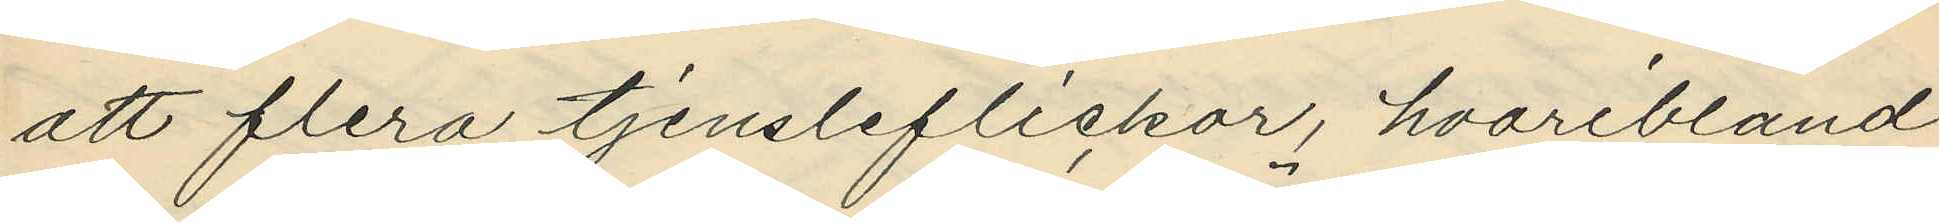att flera tjensleflickor, hvaribland
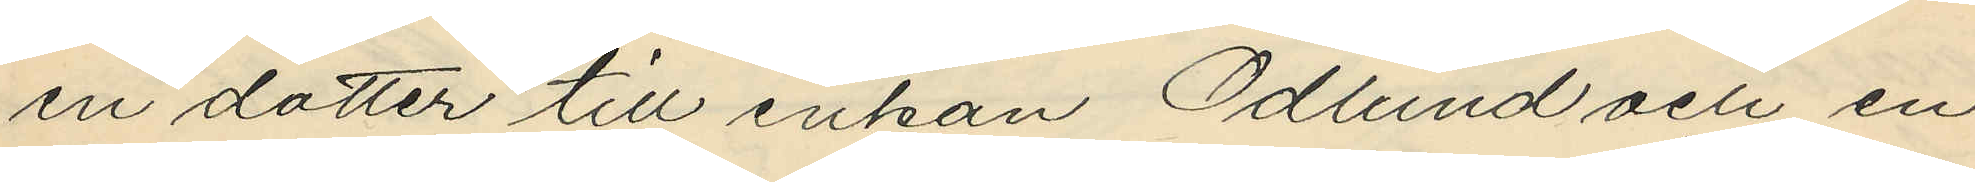en dotter till enkan Ödlund och en
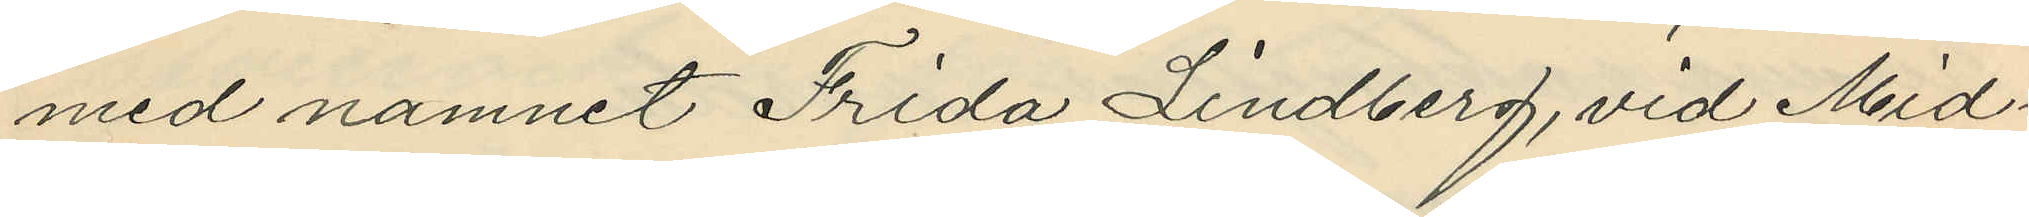med namnet Frida Lindberg, vid Mid¬
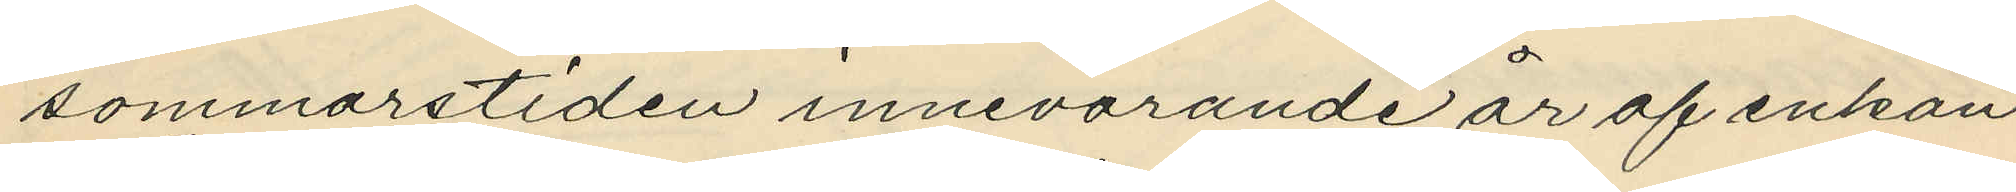sommarstiden innevarande år af enkan
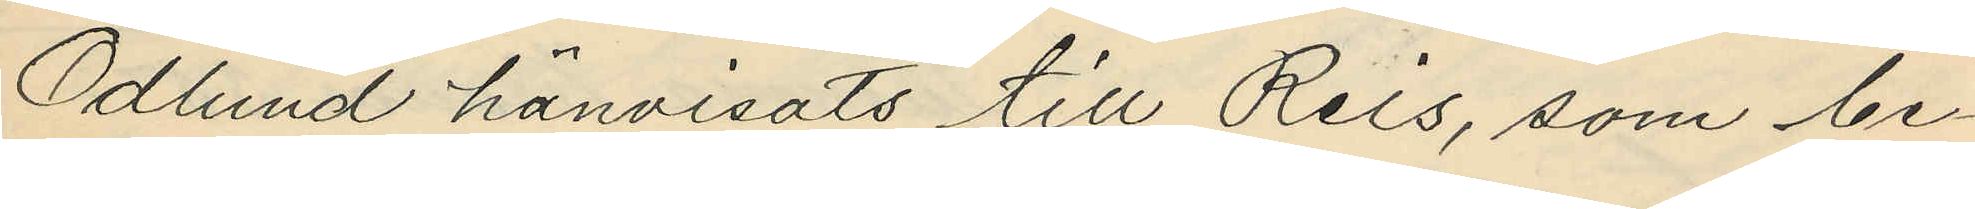Ödlund hänvisats till Reis, som be¬
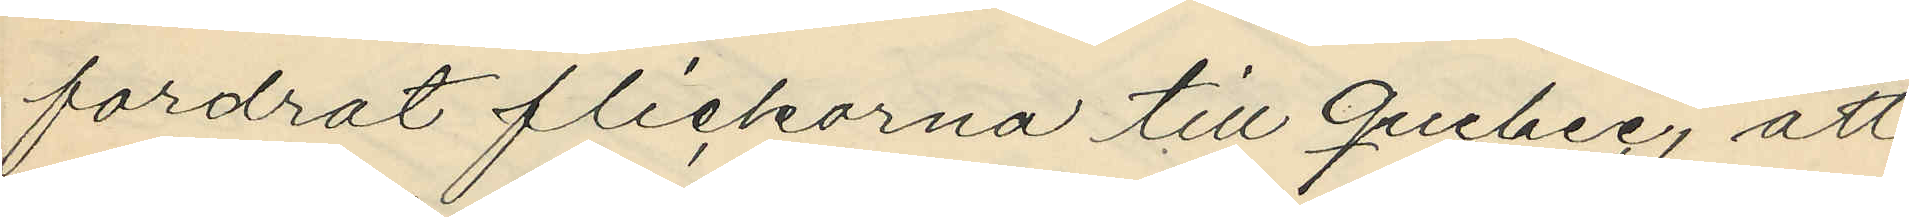fordrat flickorna till Quebec, att
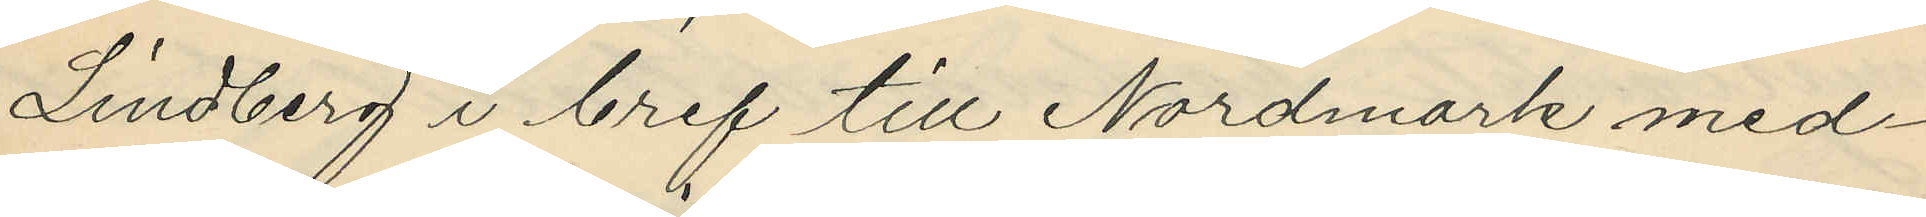Lindberg i bref till Nordmark med¬
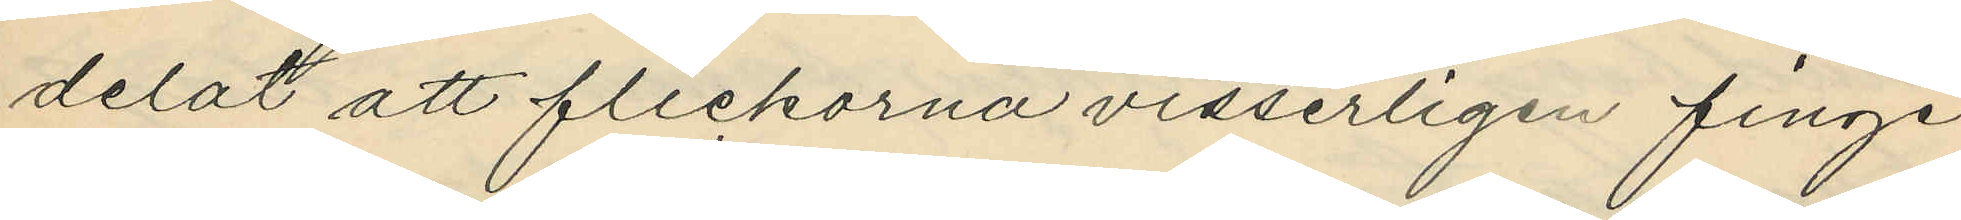delat att flickorna visserligen finge
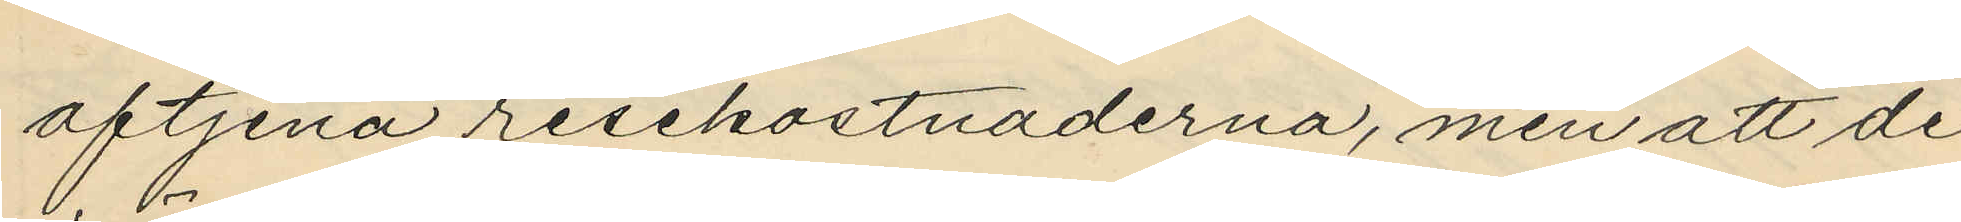aftjena resekostnaderna, men att de
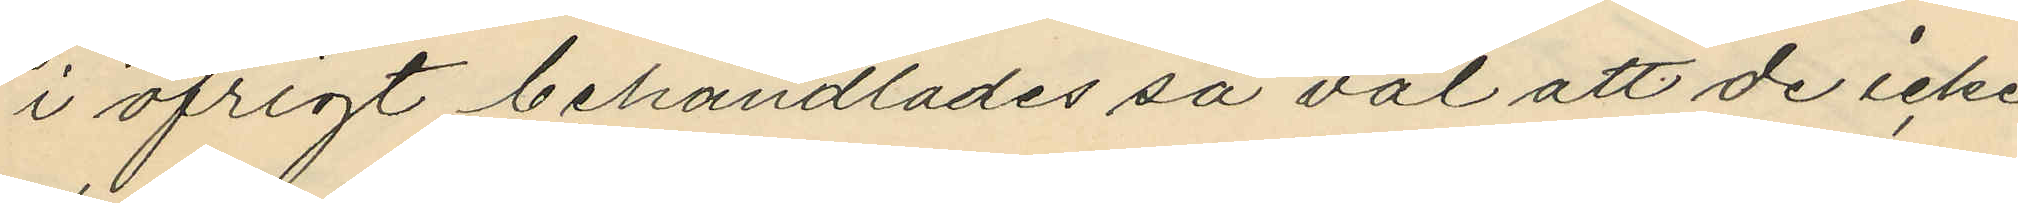i öfrigt behandlades så väl att de icke
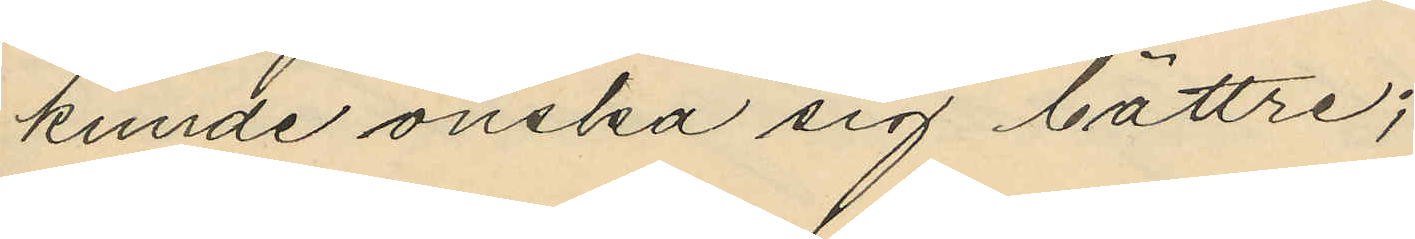kunde önska sig bättre;
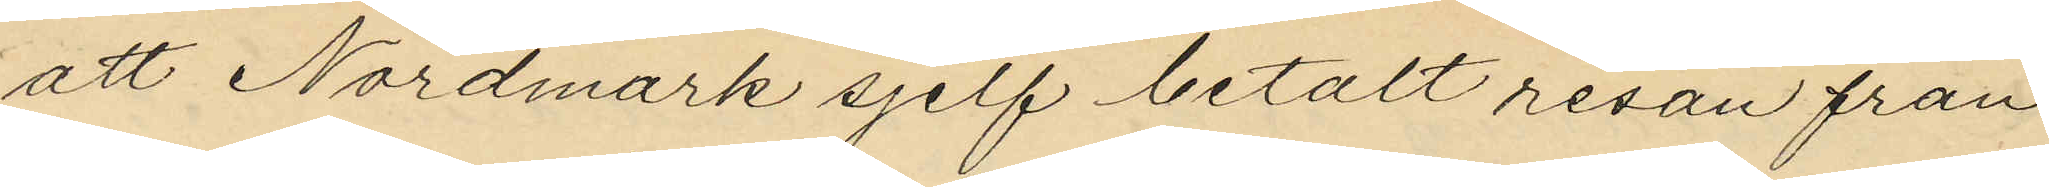att Nordmark sjelf betalt resan från
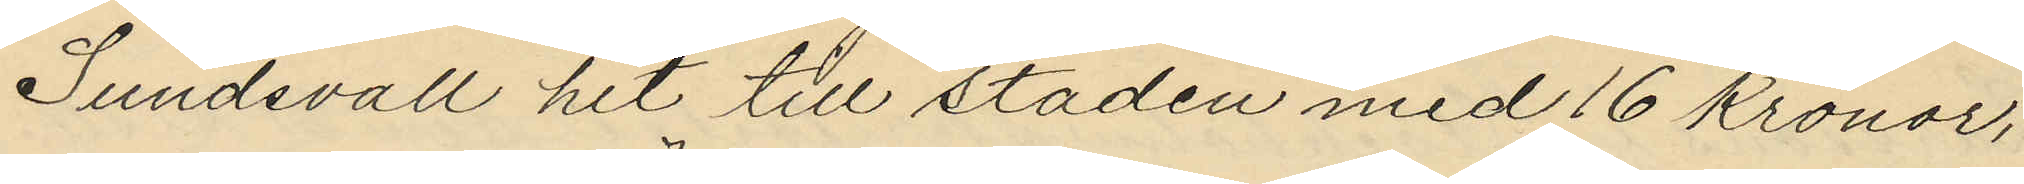Sundsvall hit till staden med 16 Kronor,
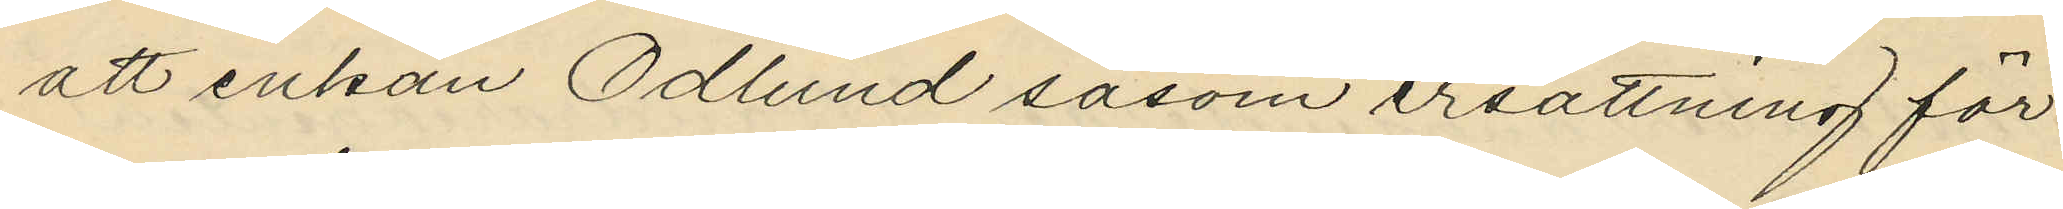att enkan Ödlund såsom ersättning för
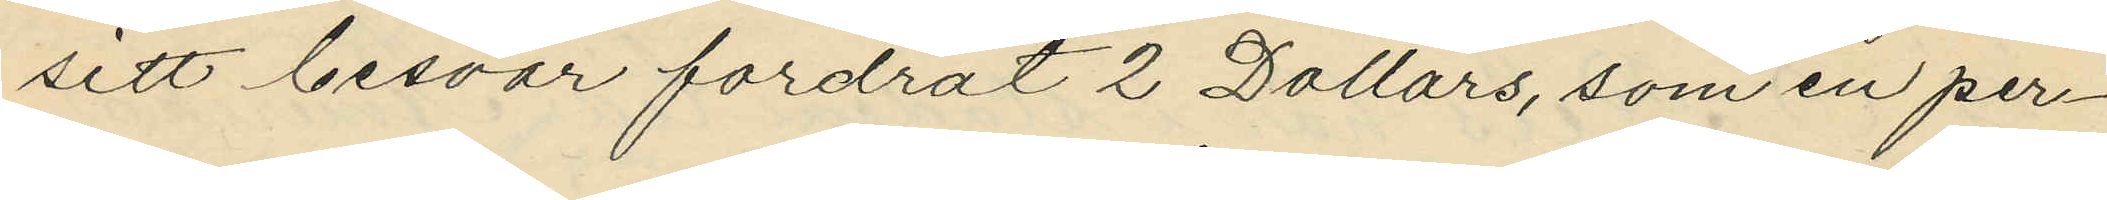sitt besvär fordrat 2 Dollars, som en per¬
